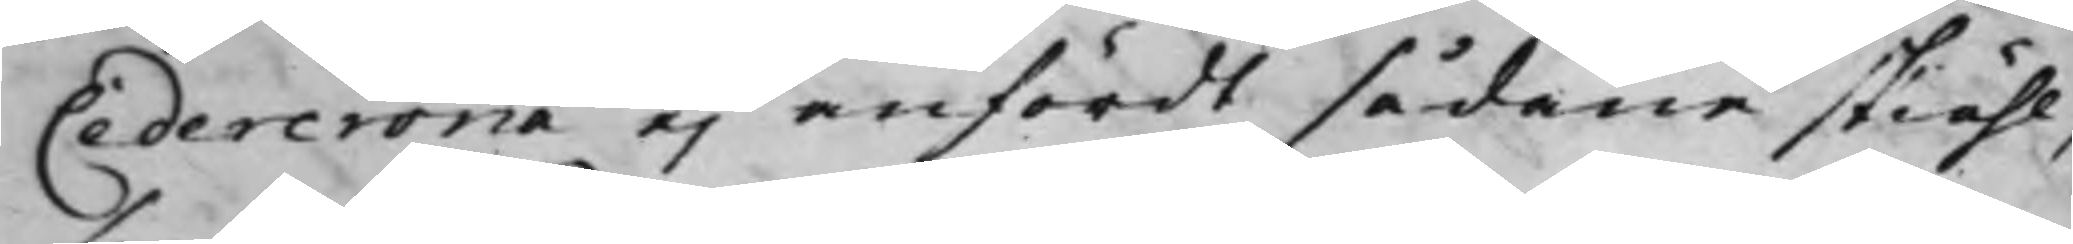Cedercrona ej anfördt sådane skiähl,
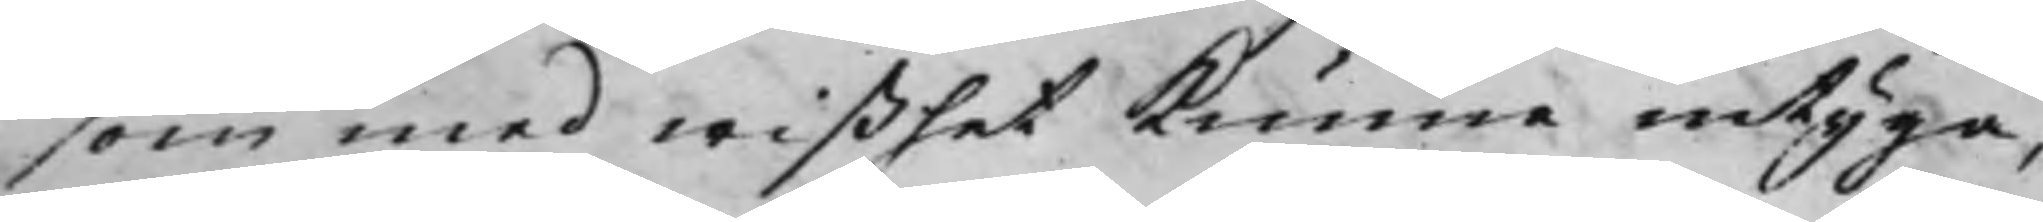som med wißhet kunna intyga,
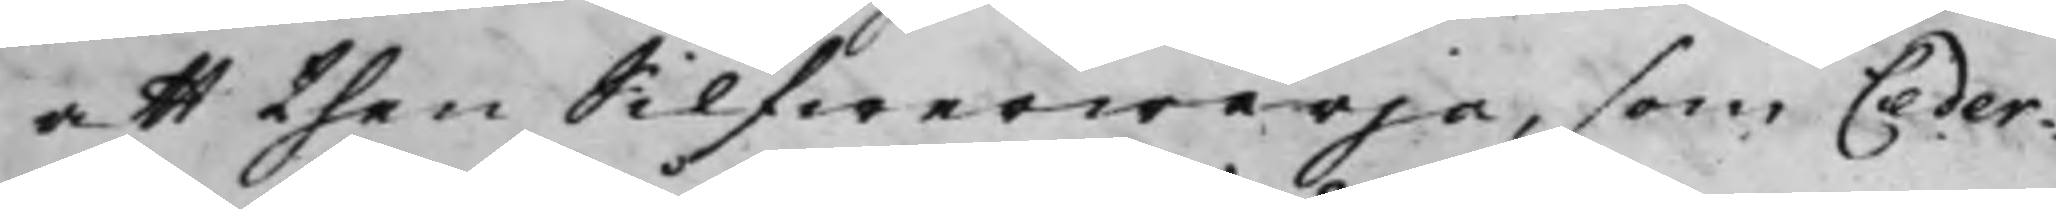att then Silfwerwärja, som Ceder¬
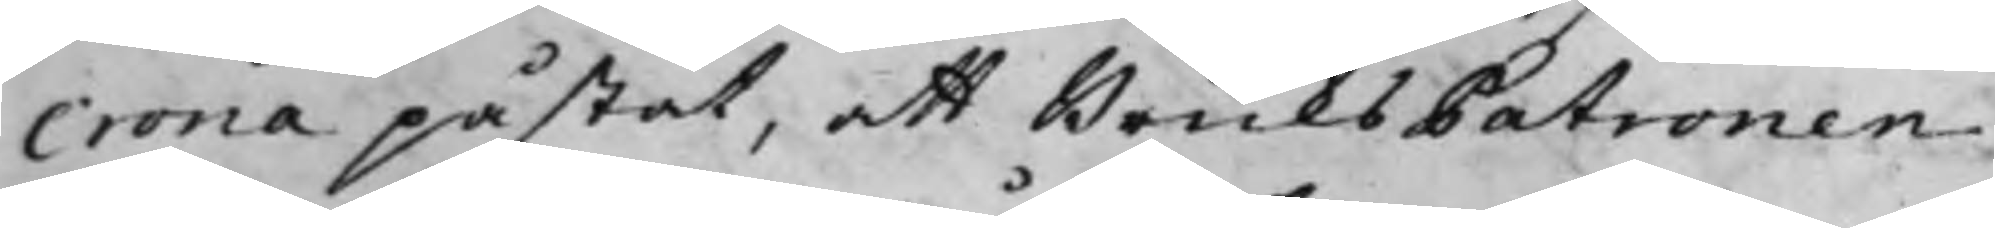crona påståt, att BruksPatronen
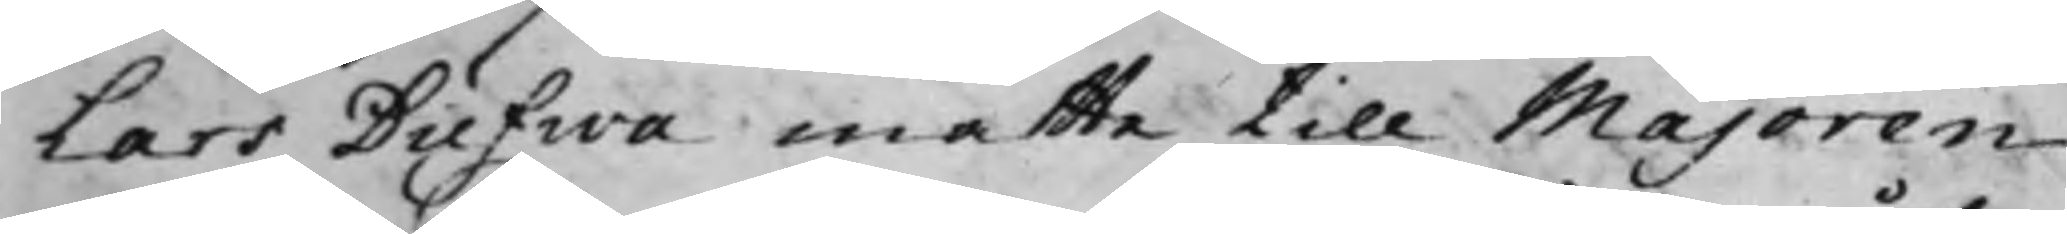Lars Dufwa måtte till Majoren
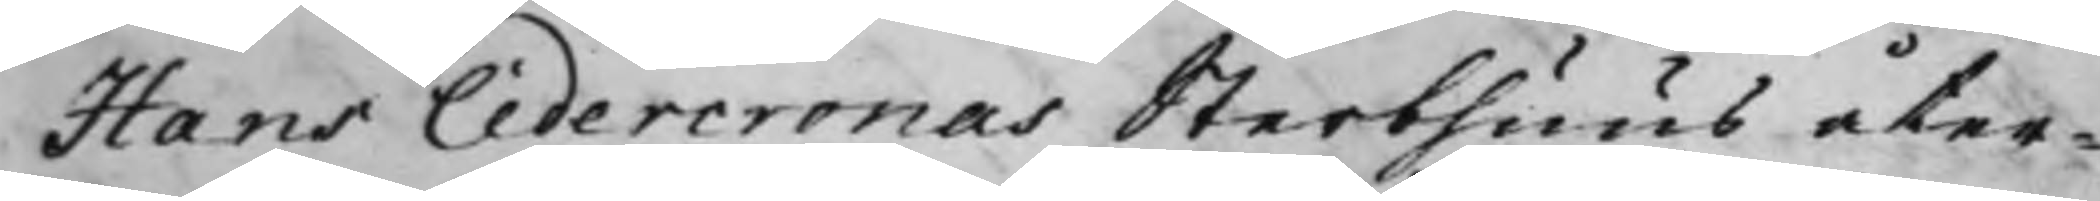Hans Cedercronas Sterbhuus åter¬
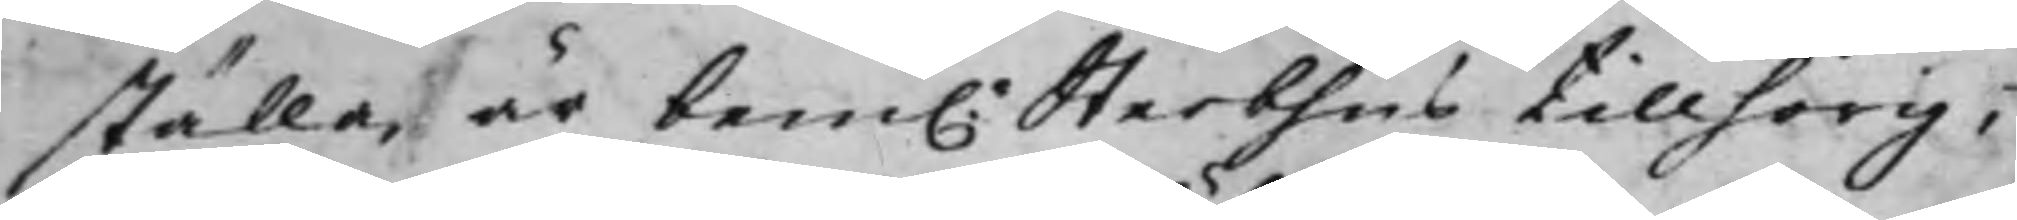ställa, är bem.e Sterbhus tillhörig;
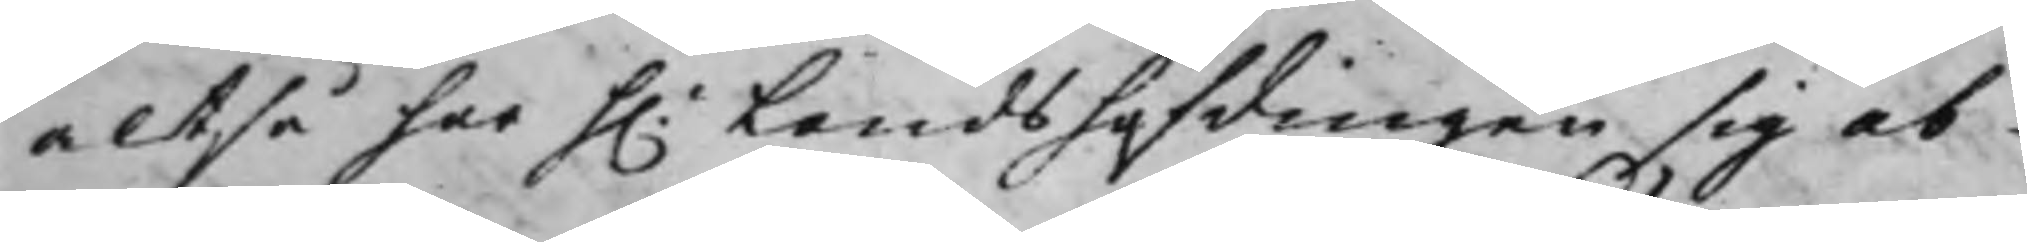altså har h.r Landshöfdingen sig ab
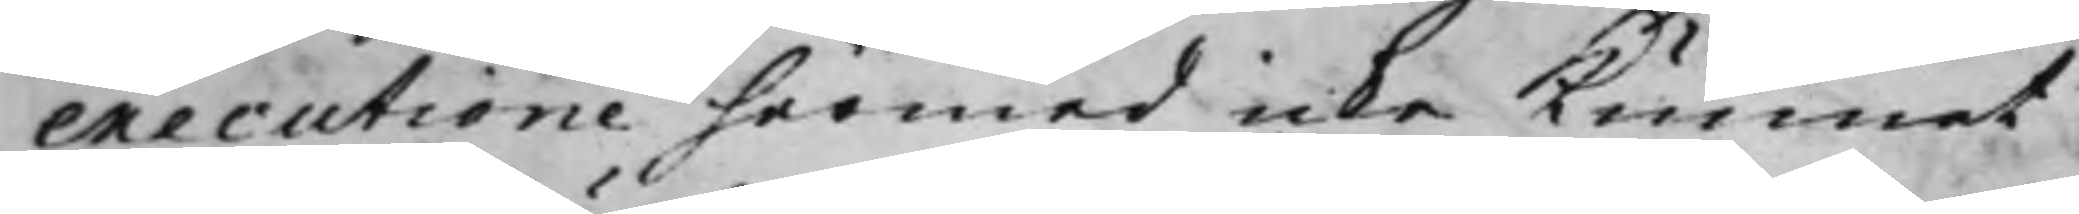executione härmed icke kunnat
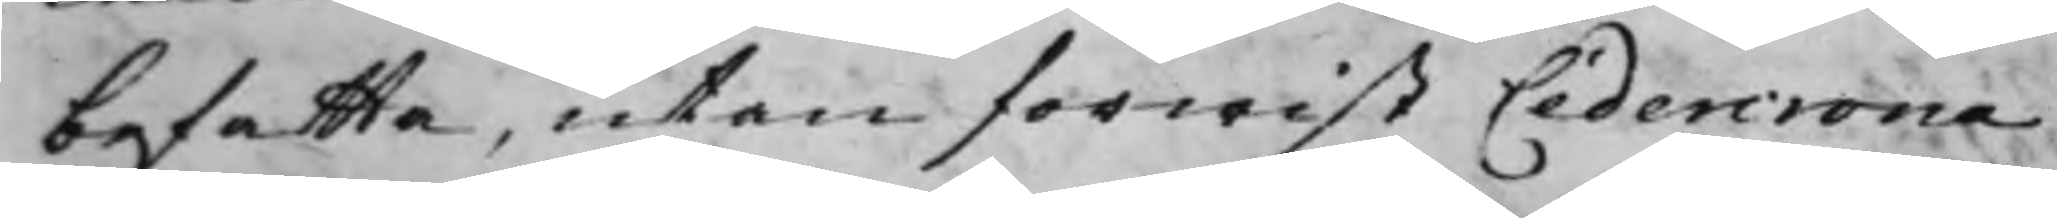befatta, utan förwist Cedercrona
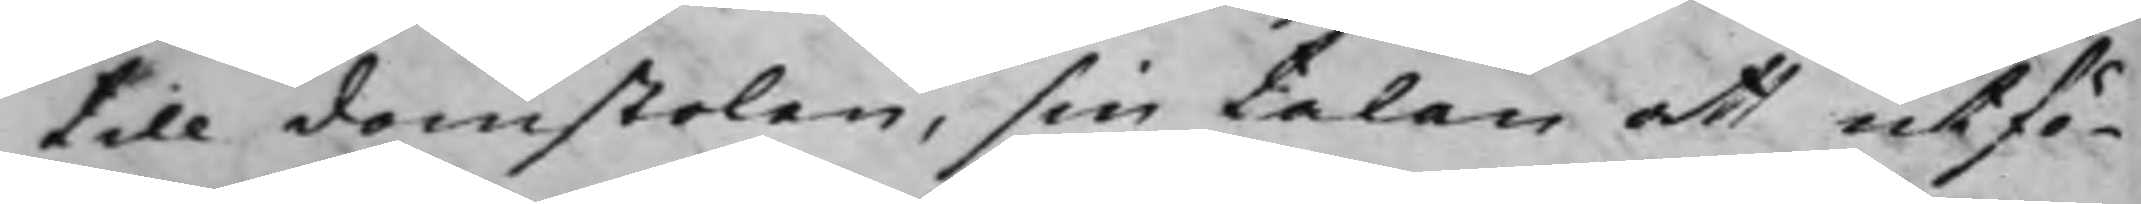till domstolen, sin talan att utfö¬
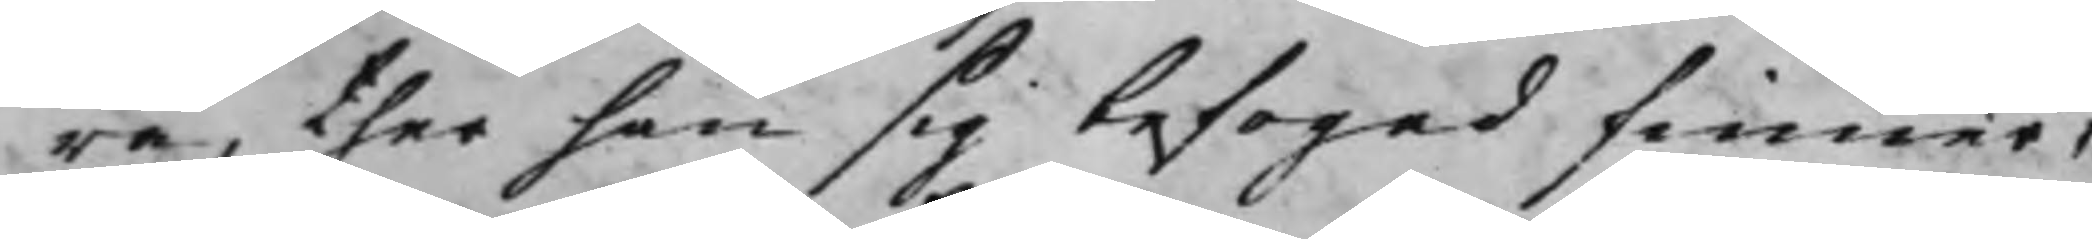ra, ther han sig befogad finner,
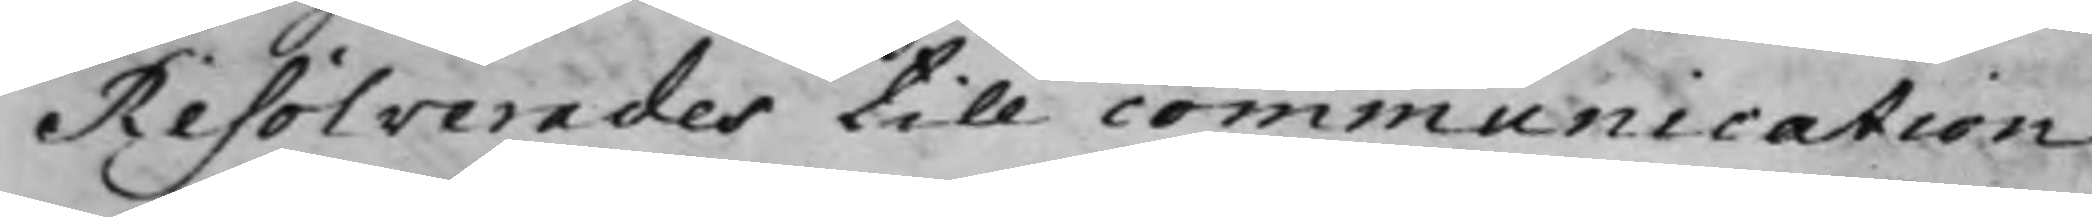Resolverades till communication
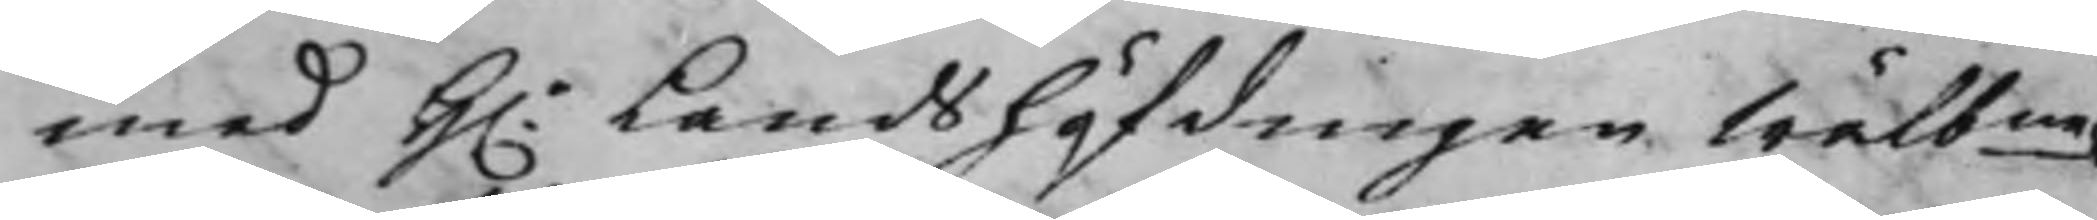med H.r Landshöfdingen Wälbne
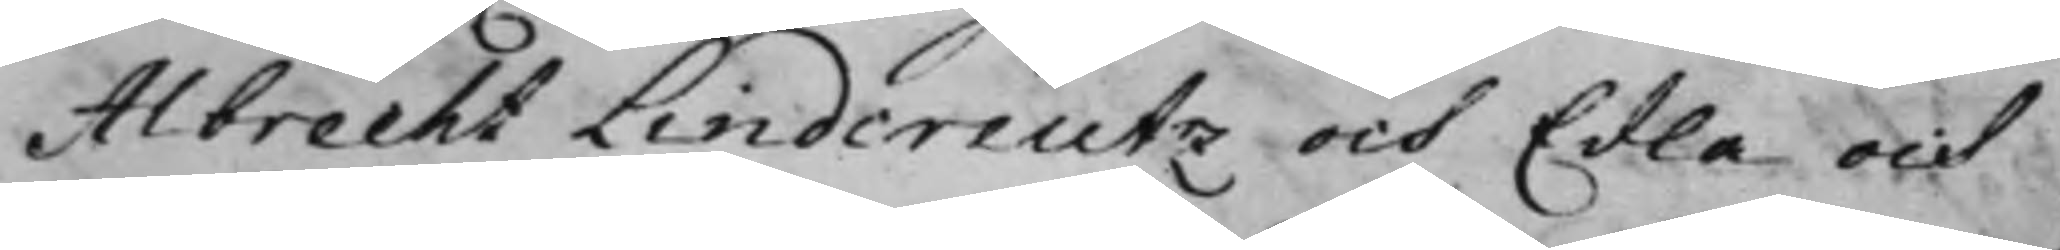Albrecht Lindereutz och Edla och
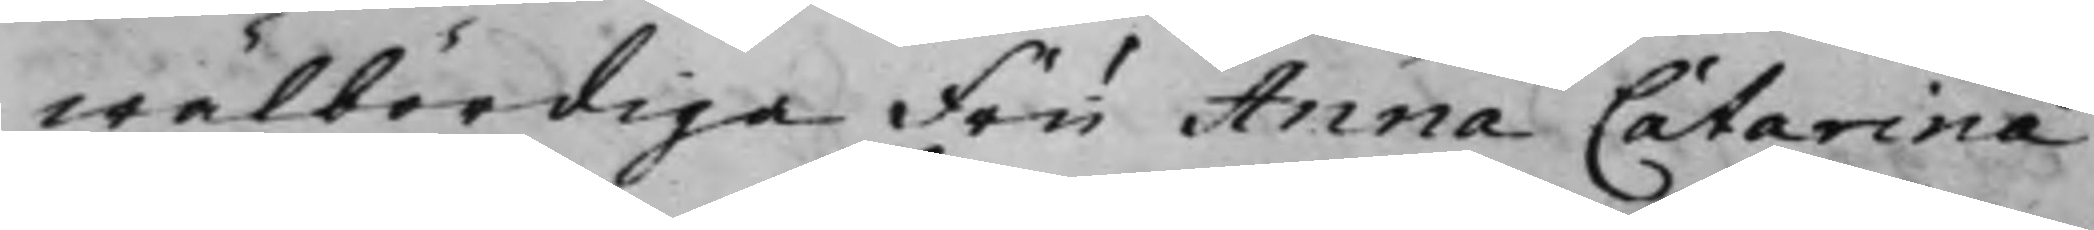wälbördiga Fru Anna Catarina
